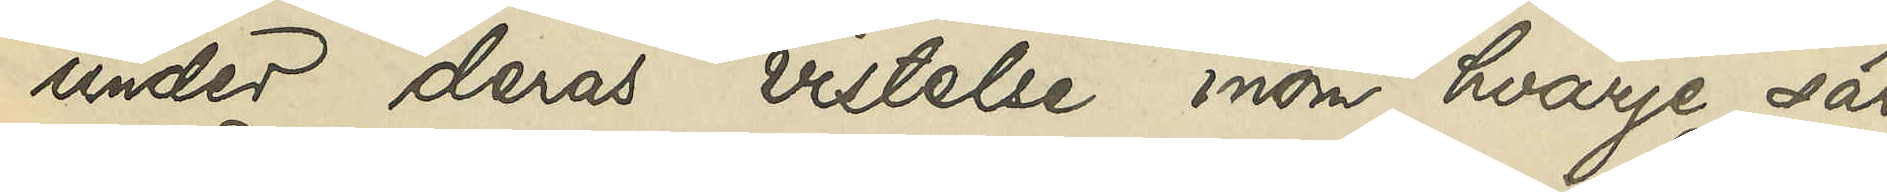under deras vistelse inom hvarje sär¬
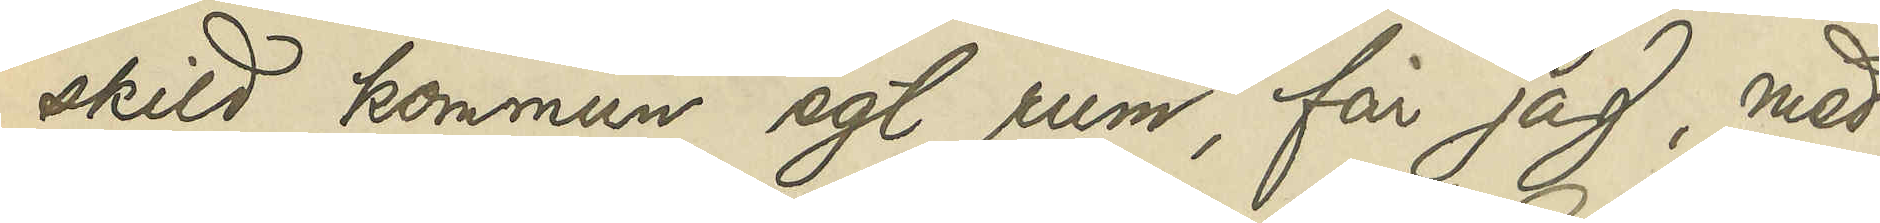skild kommun egt rum, får jag, med
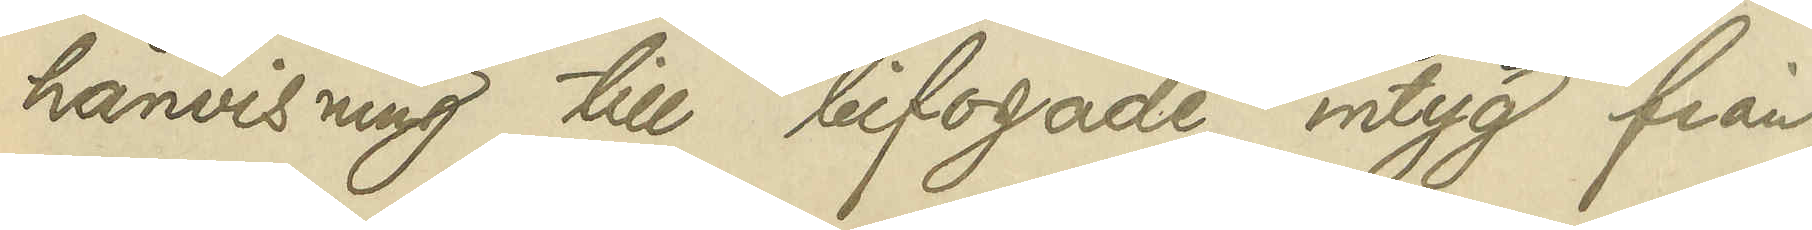hänvisning till bifogade intyg från
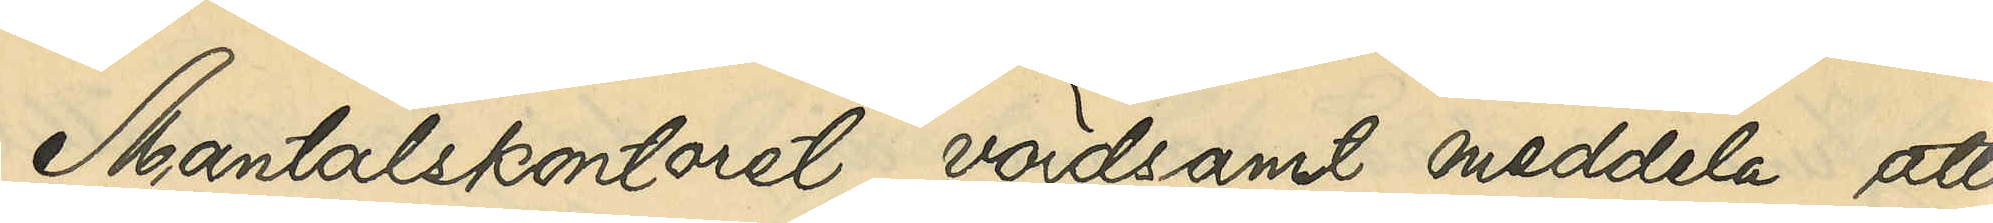Mantalskontoret, vördsamt meddela, att
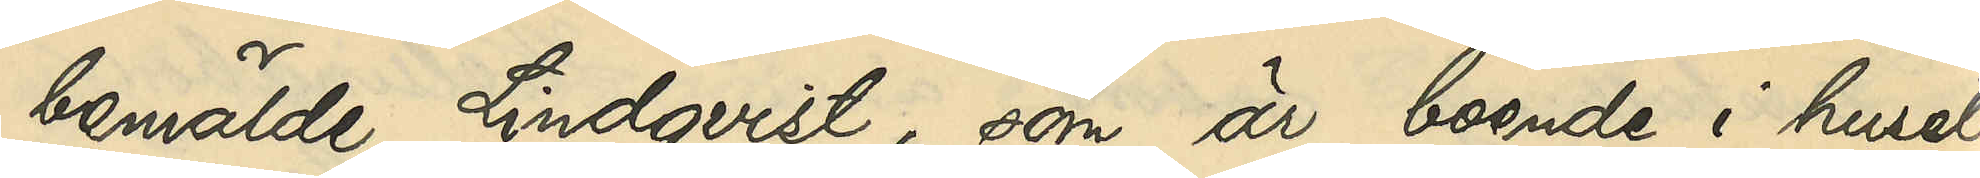bemälde Lindqvist, som är boende i huset
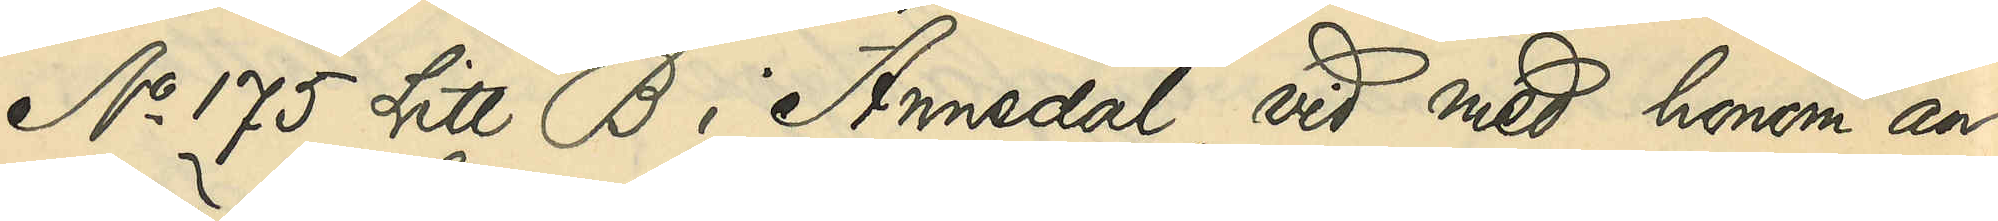No 175 Litt. B i Annedal, vid med honom an¬
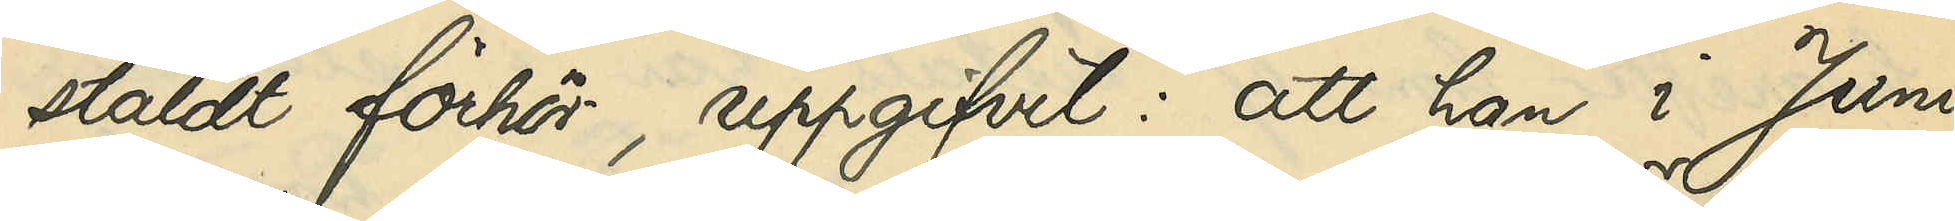stäldt förhör, uppgifvit: att han i Juni
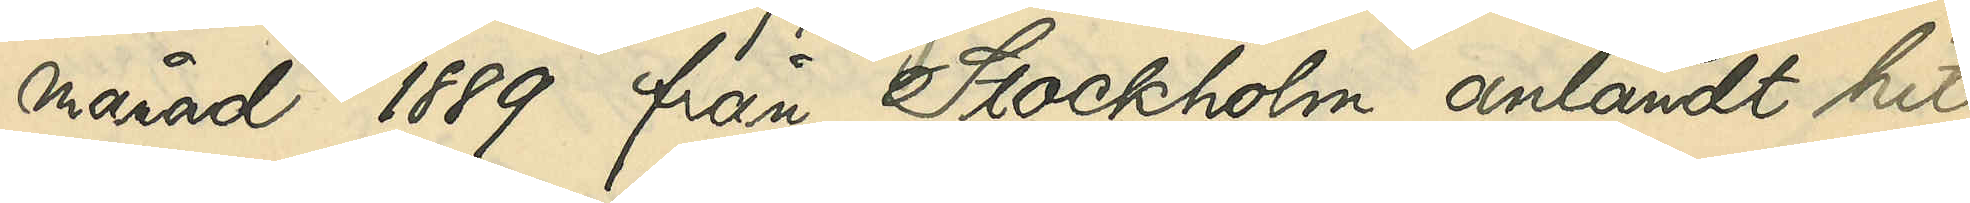månad 1889 från Stockholm anländt hit
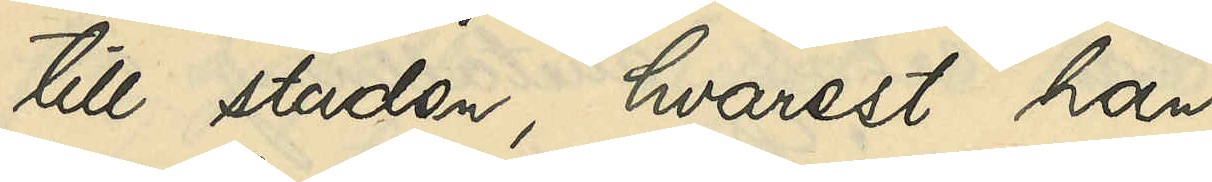till staden, hvarest han
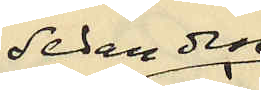sedan dess
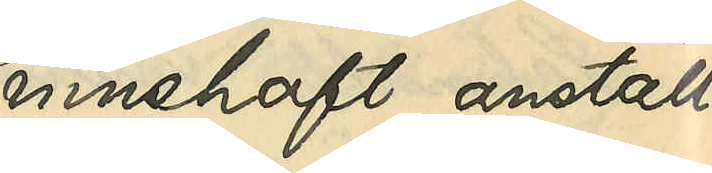innehaft anställ¬
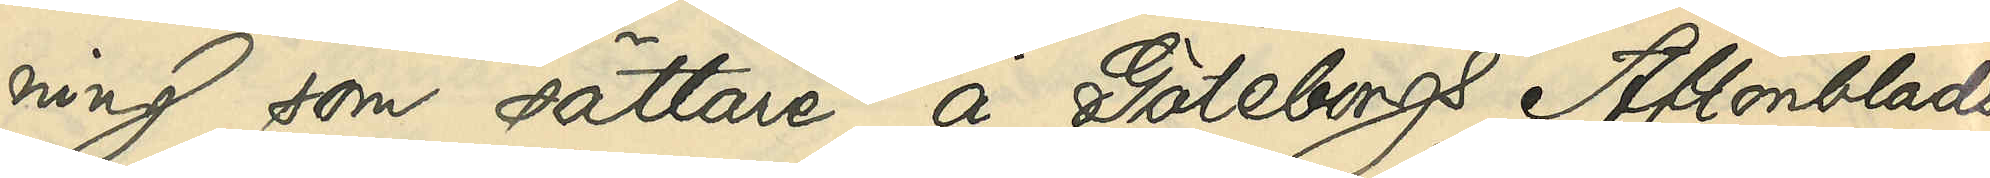ning som sättare å Göteborgs Aftonblads
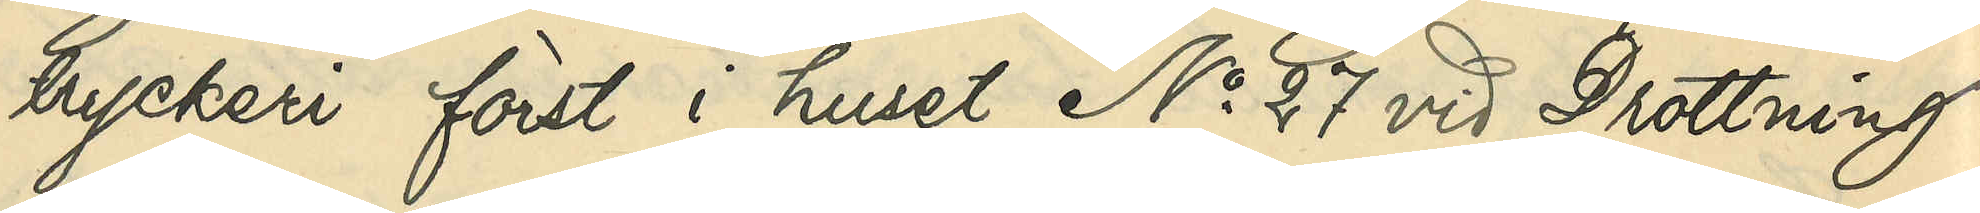tryckeri först i huset No 27 vid Drottning¬
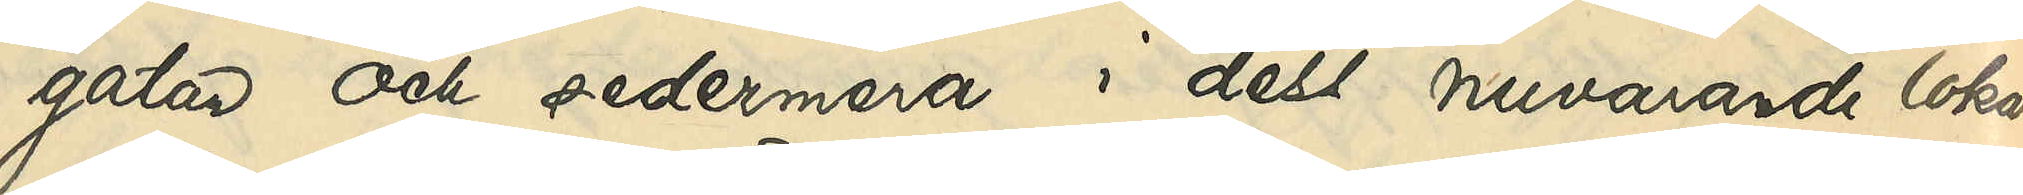gatan och sedermera i dess nuvarande lokal
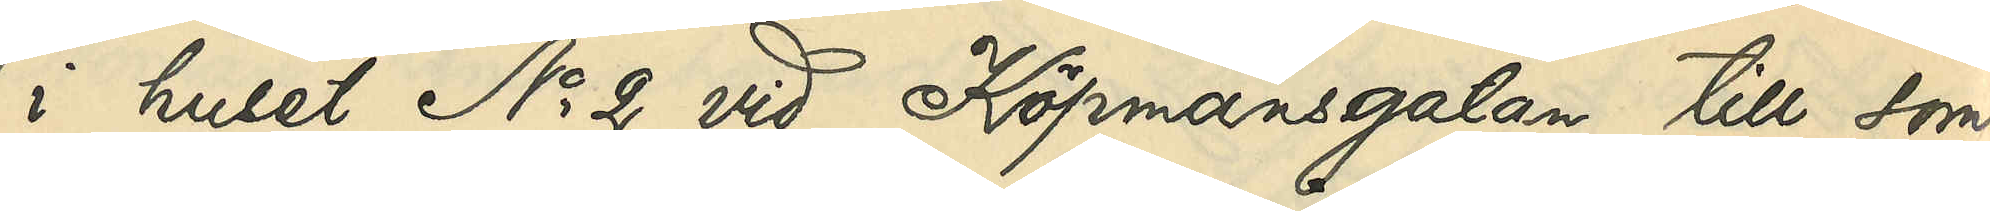i huset No 2 vid Köpmansgatan till som¬
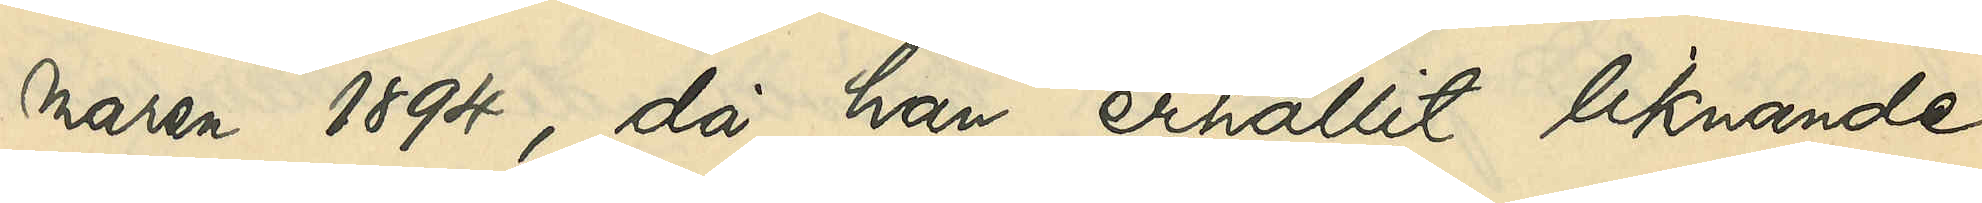maren 1894, då han erhållit liknande
